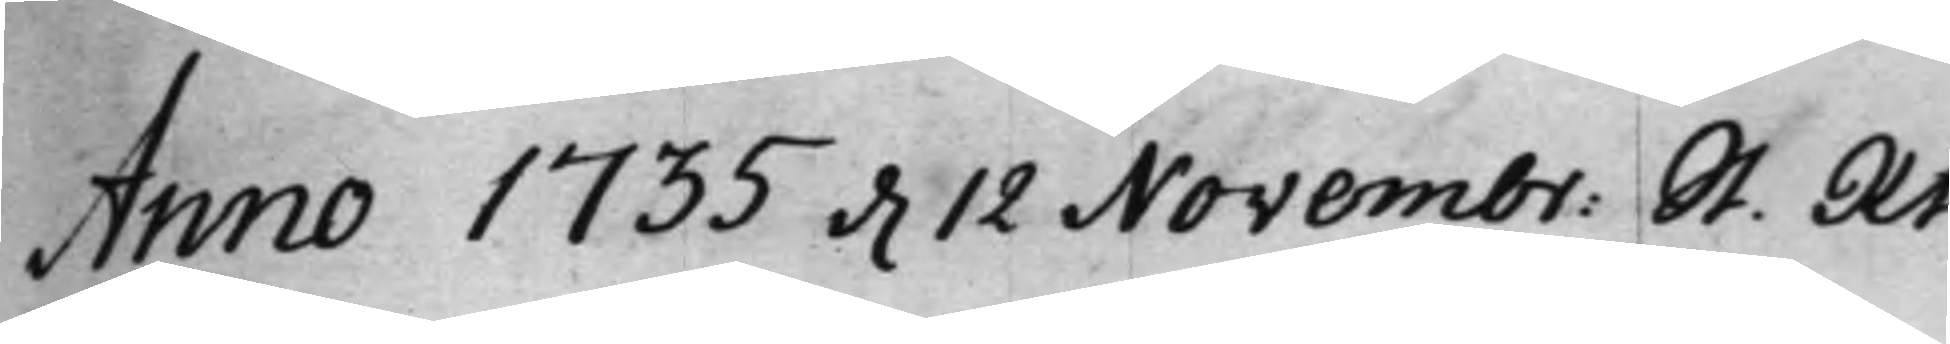Anno 1735 d. 12 Novembr: St. Rt.
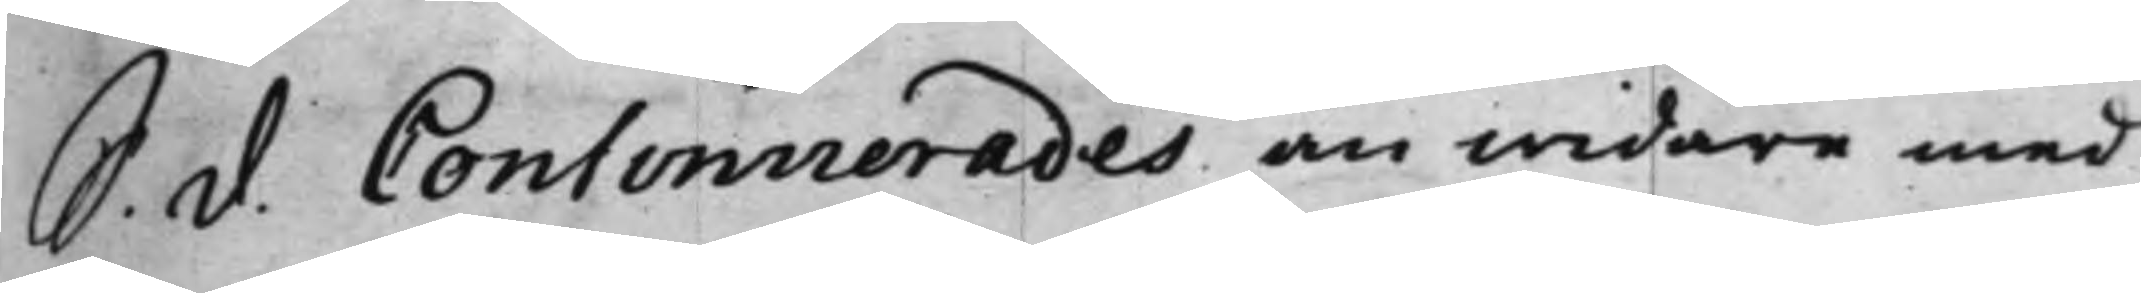S. d. Confirmerades än widare med
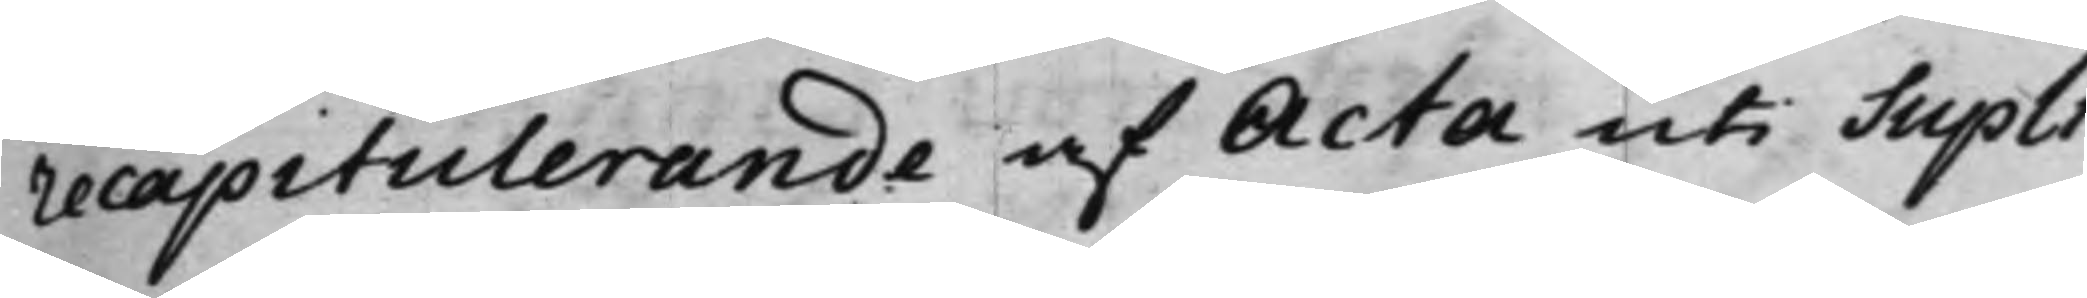recapitulerande af Acta uti Supli¬
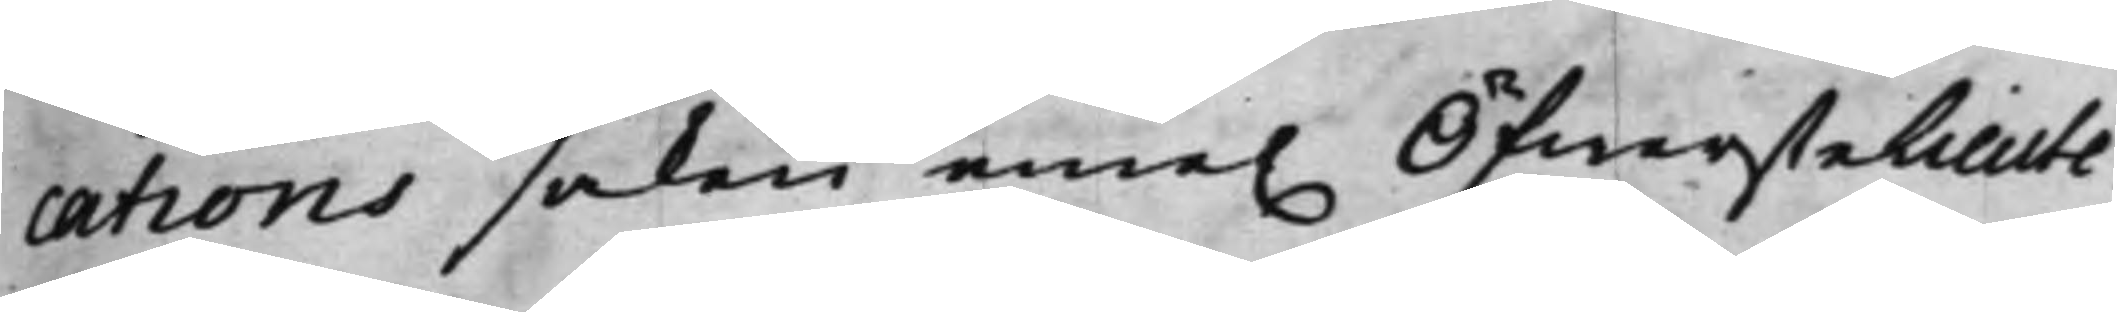cations saken eme. Öfwerstelieute¬
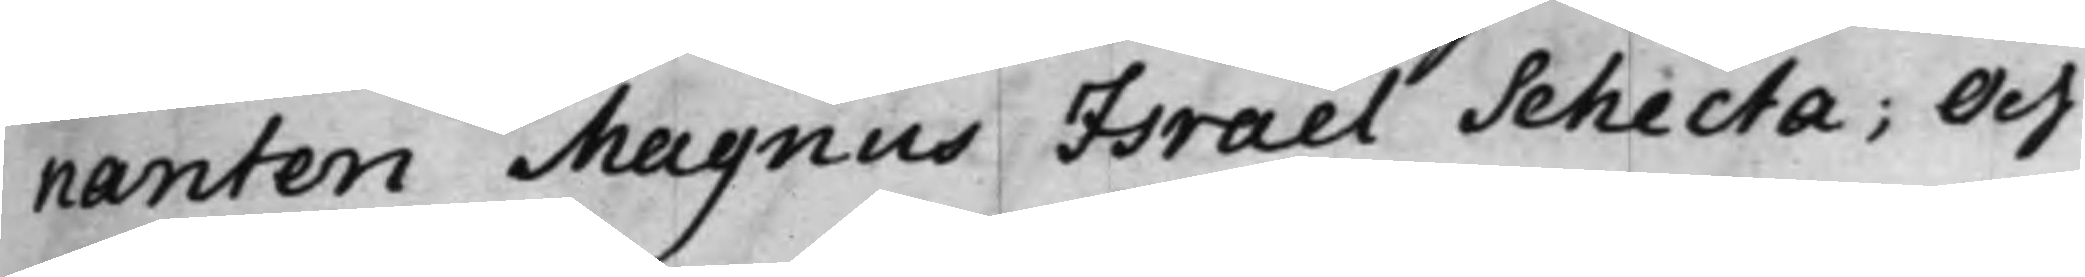nanten Magnus Israel Schecta; Och
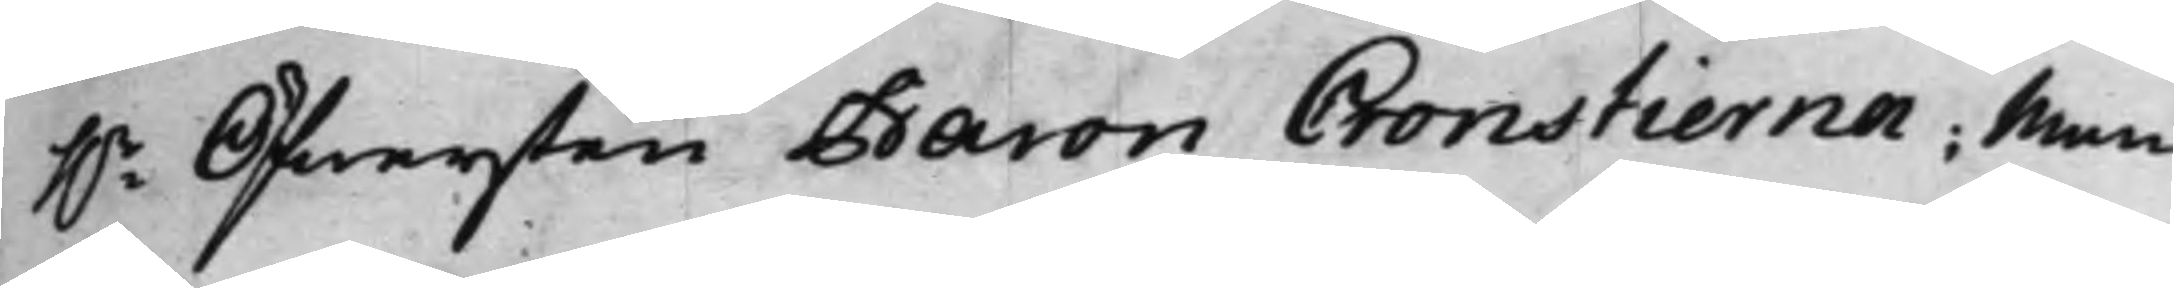h.r Öfwersten Baron Cronstierna; Men
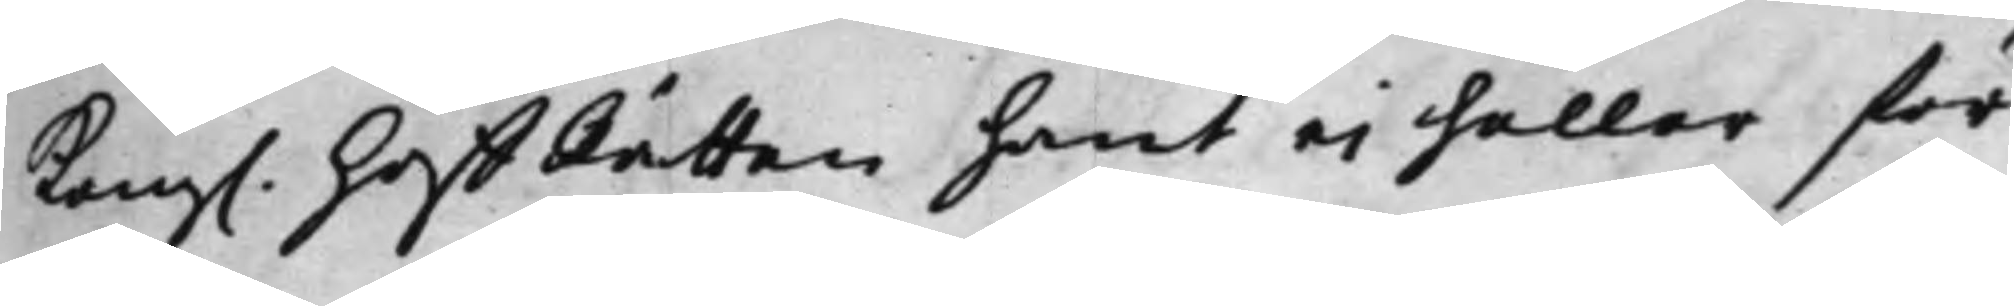Kong. HoffRätten hant ei heller för
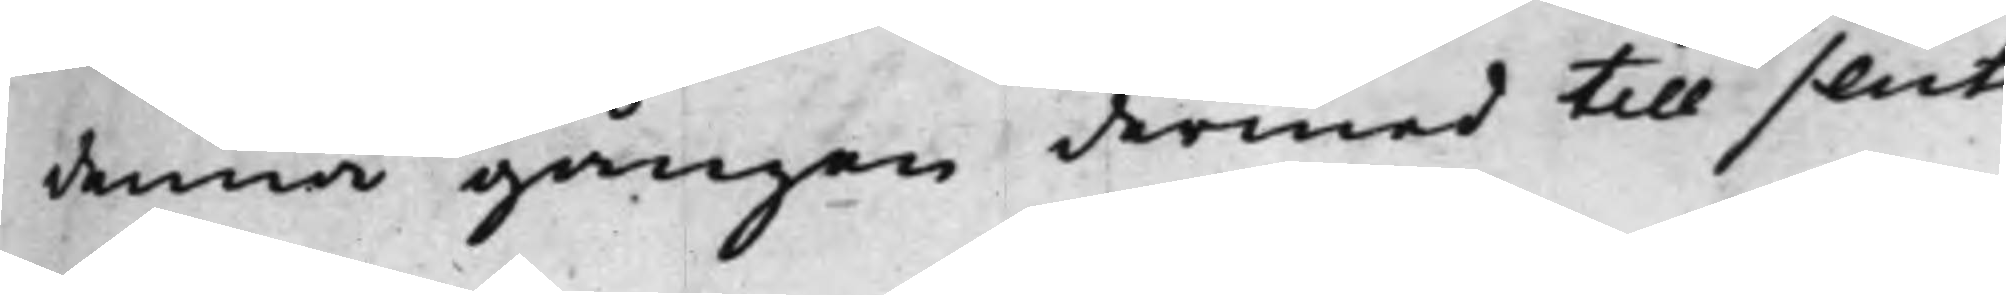denna gången dermed till slut.
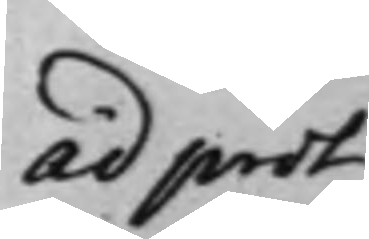ad prot
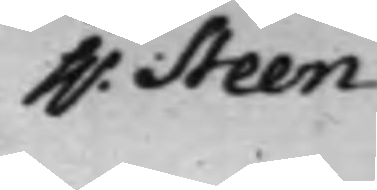h.r Steen
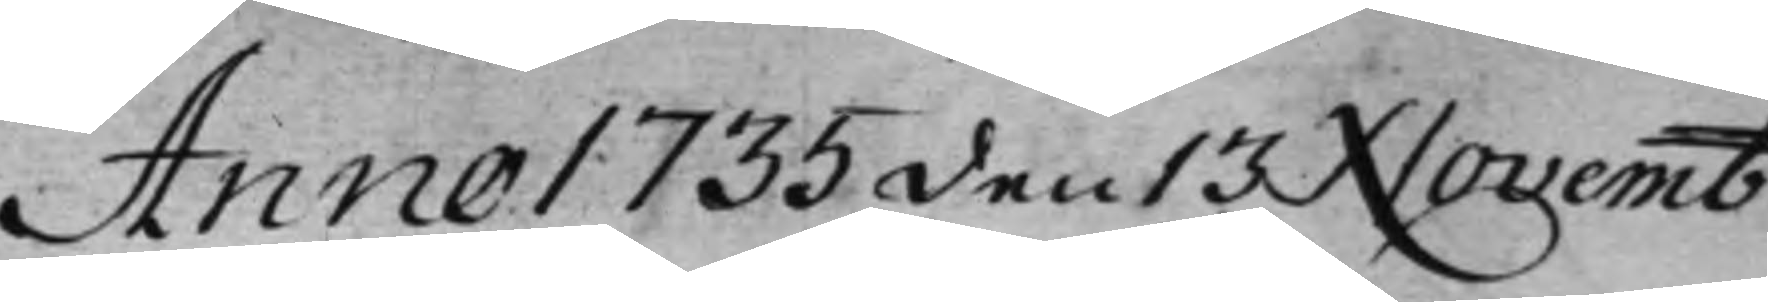Anno 1735 den 13 Novemb:
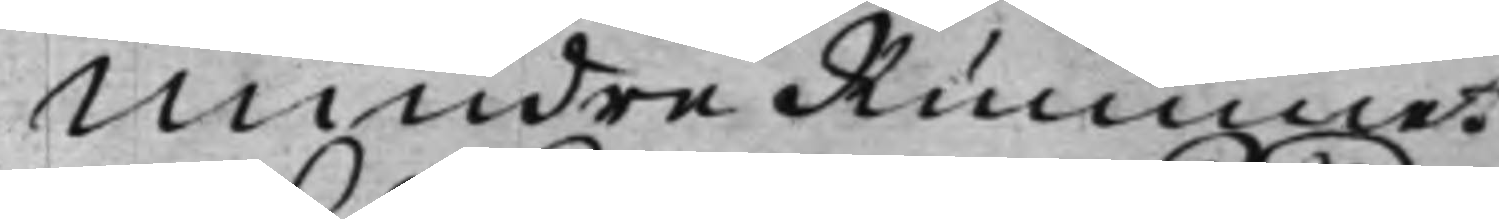Mindre Rummet
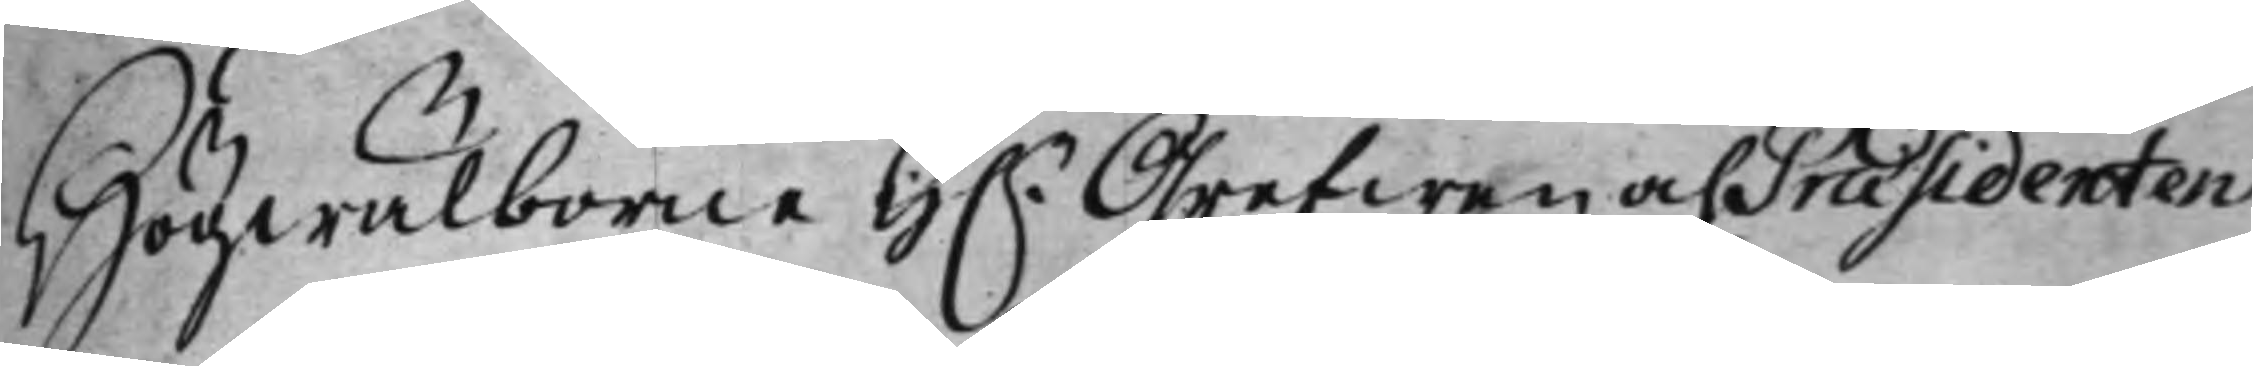Högwälborne H.r Grefwen och Præsidenten
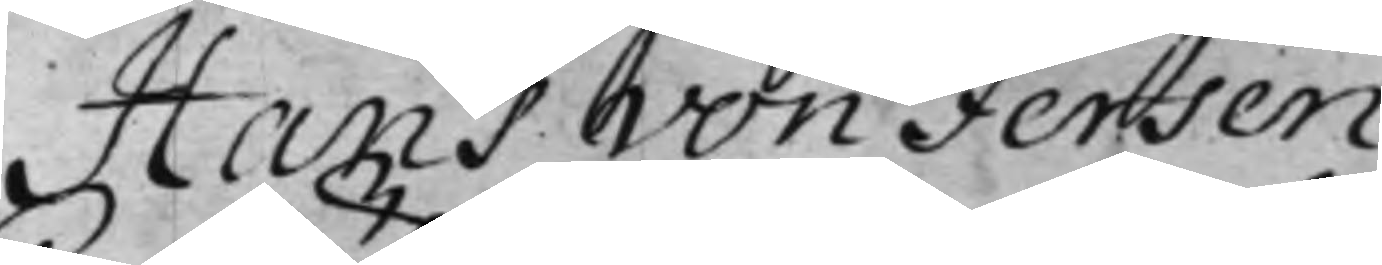Hans von Fersen
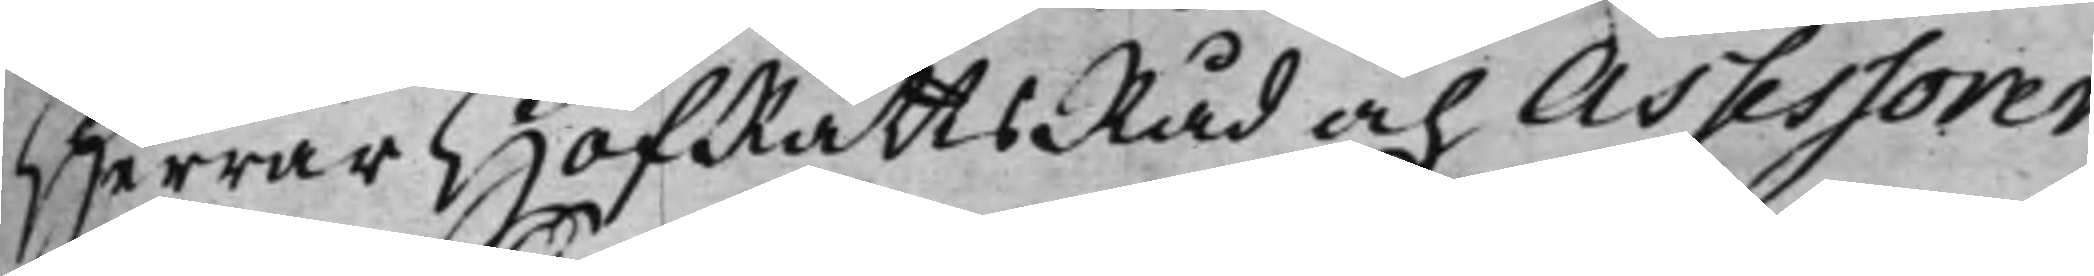Herrar HofRättsRåd och Assessorer
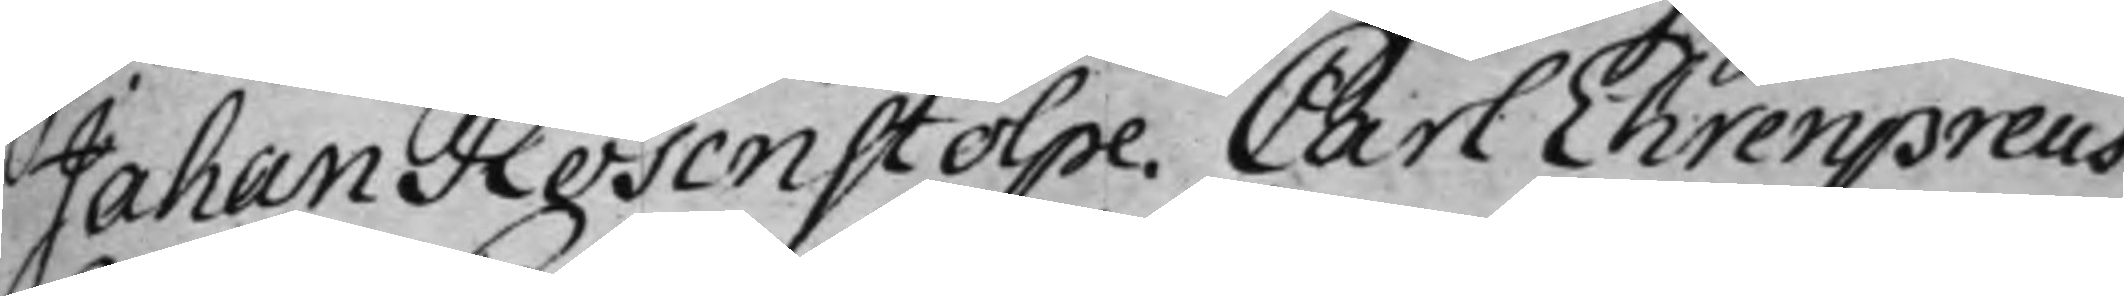Johan Rosenstolpe. Carl Ehrenpreus.
